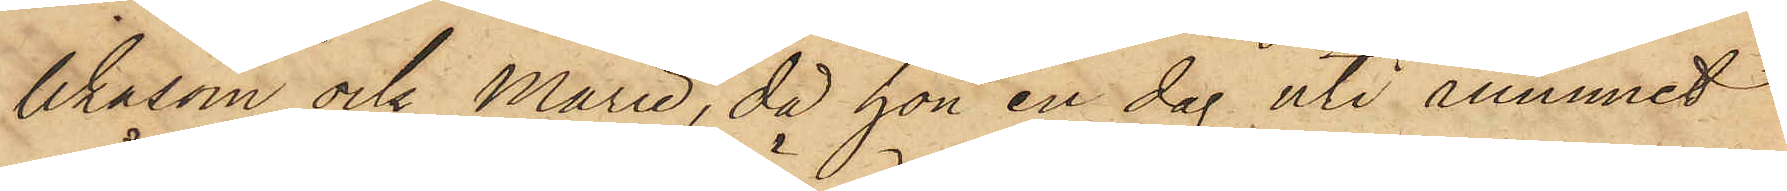likasom ock Marie, då hon en dag uti rummet
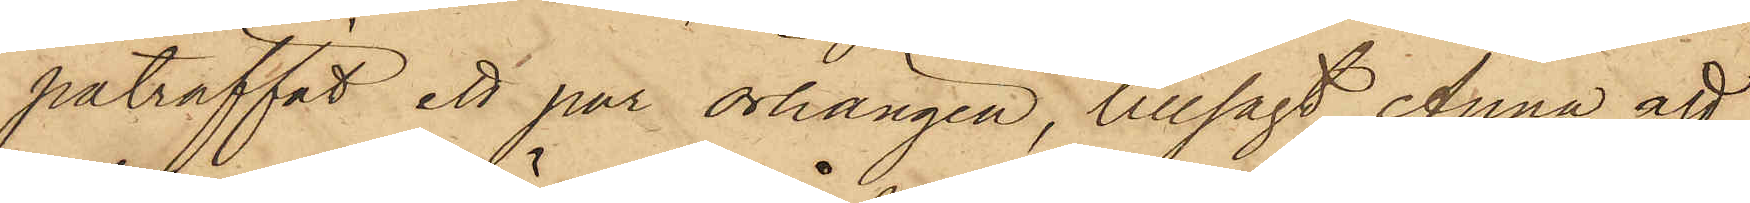påträffat ett par örhängen, tillsagt Anna att
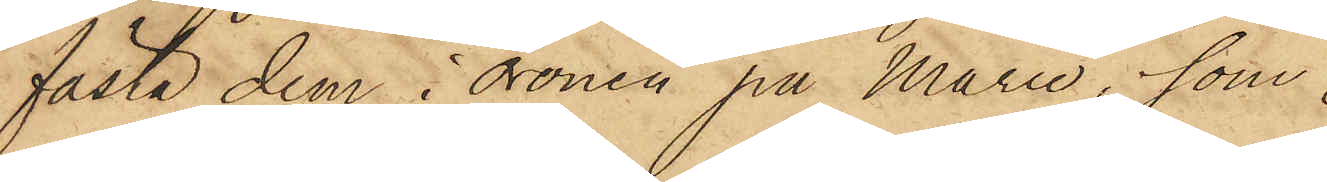fästa dem i öronen på Marie, som
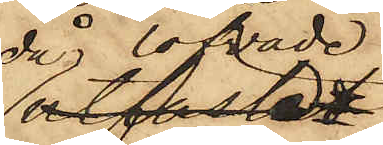då lofvade
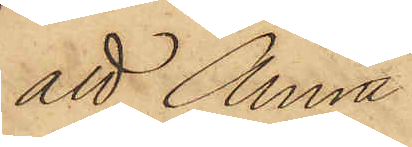att Anna
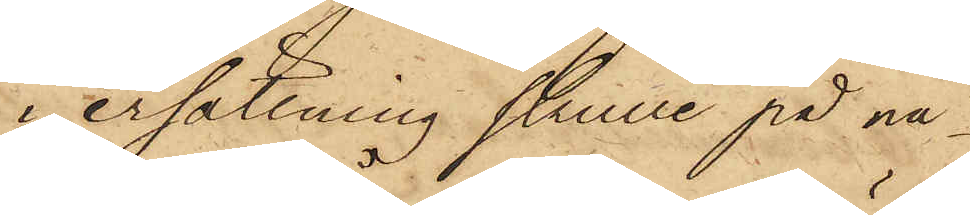i ersättning skulle på nå¬
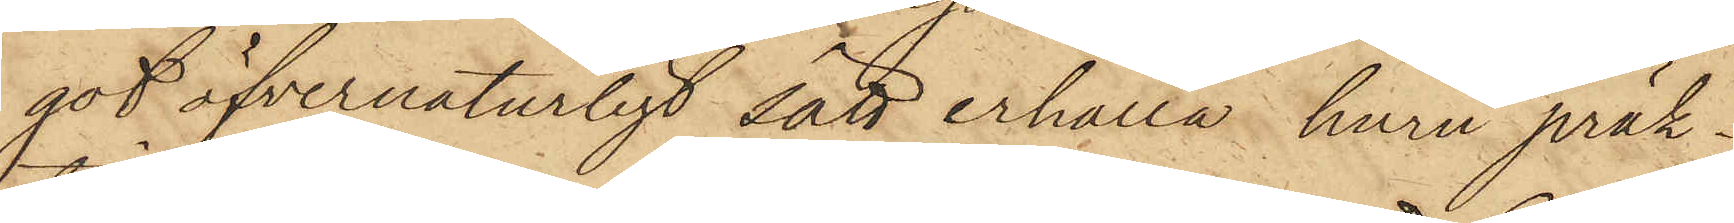got öfvernaturligt sätt erhålla huru präk¬
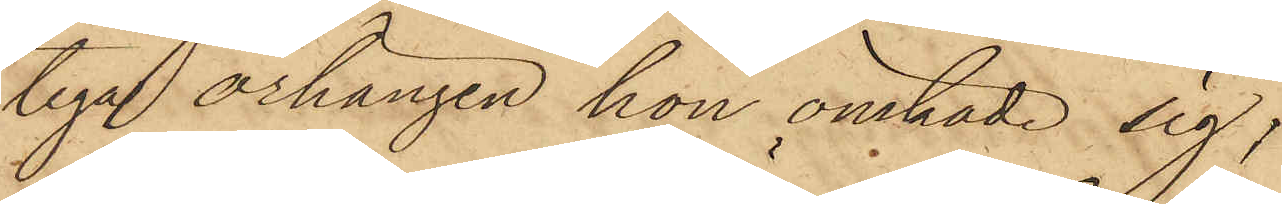tiga örhängen hon önskade sig;
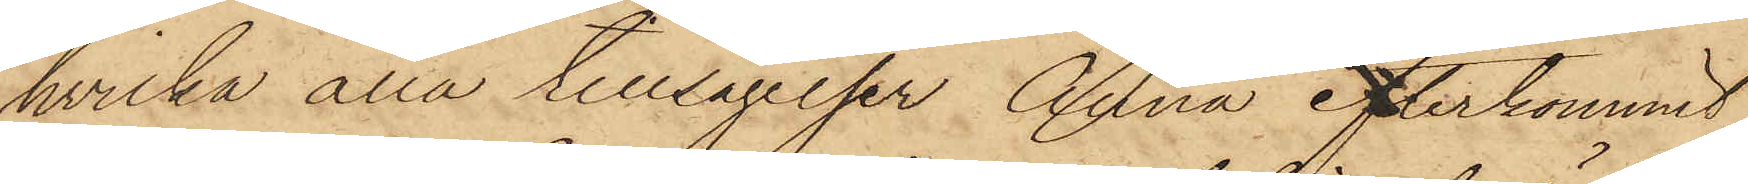hvilka alla tillsägelser Anna efterkommit;
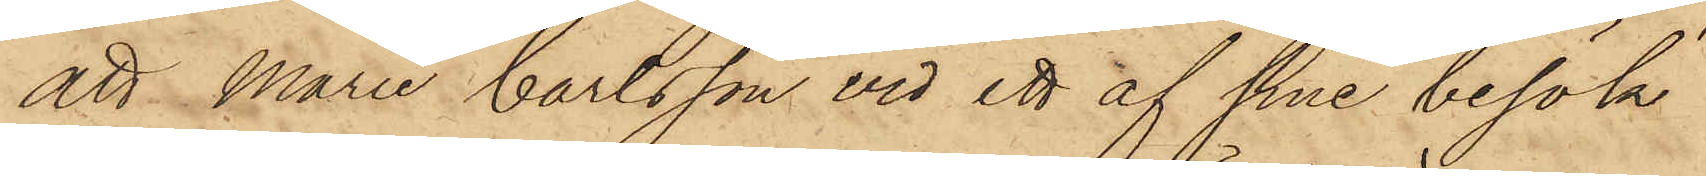att Marie Carlsson vid ett af sina besök
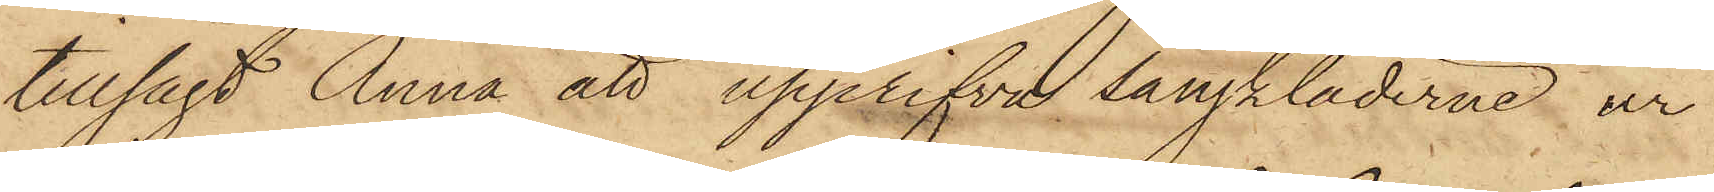tillsagt Anna att upprifva sängkläderne ur
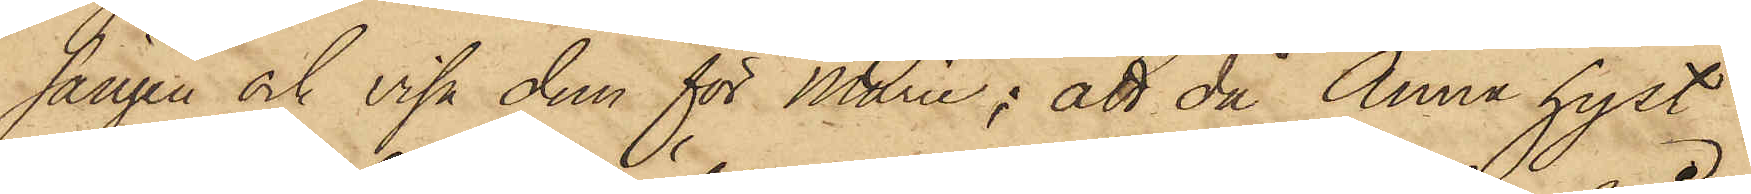sängen och visa dem för Marie; att då Anna hyst
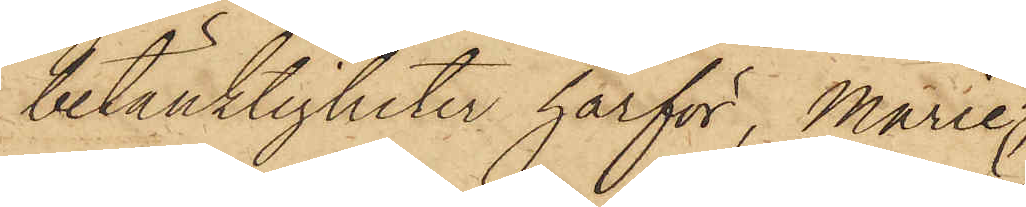betänktigheter härför, Marie
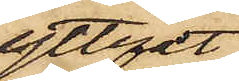yttrat
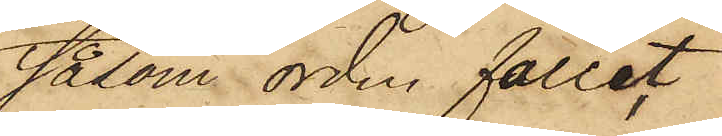såsom orden fallit,
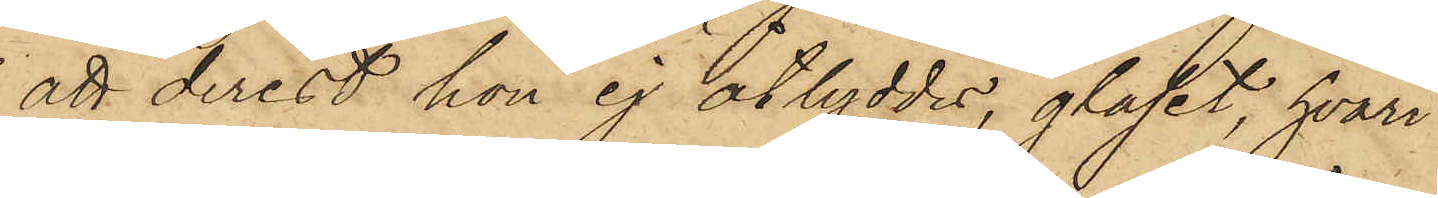att derest hon ej åtlyddes, glaset, hvari
